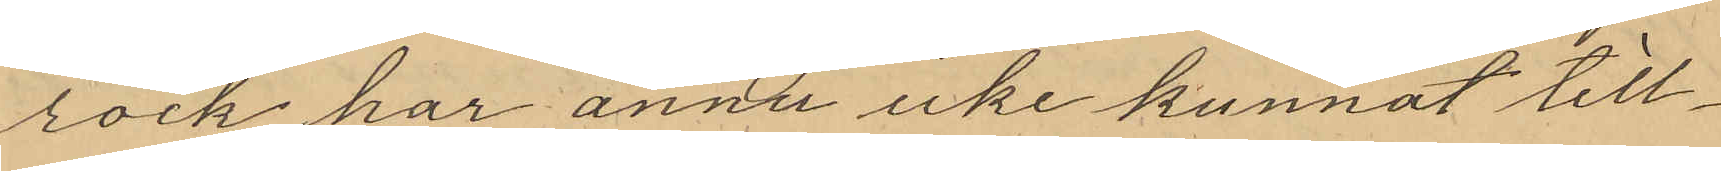rock har ännu icke kunnat till¬
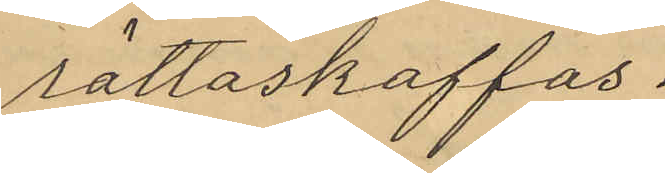rättaskaffas.
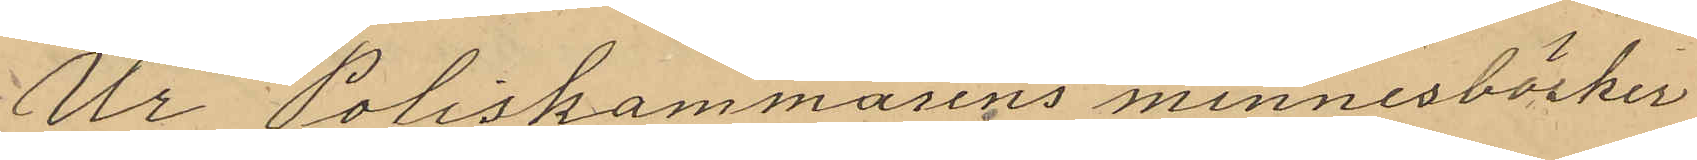Ur Poliskammarens minnesböcker
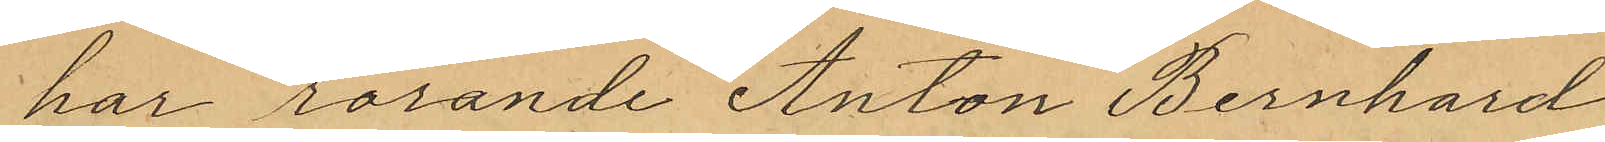har rörande Anton Bernhard
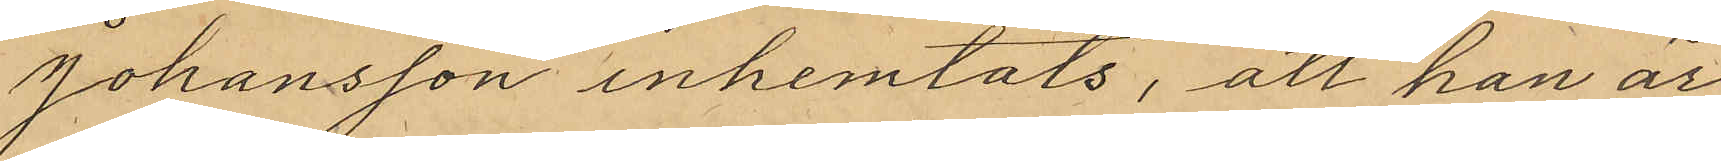Johansson inhemtats, att han är
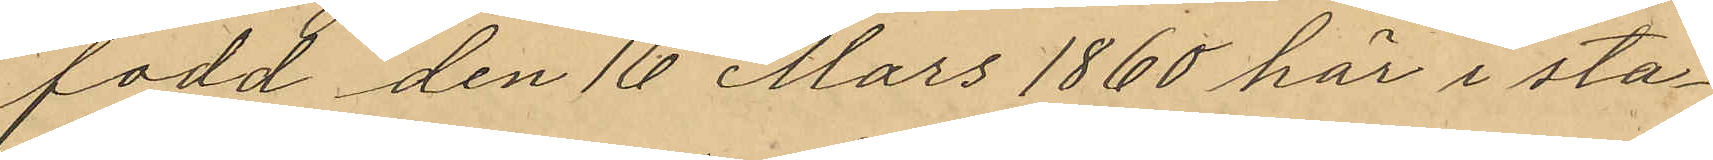fodd den 16 Mars 1860 här i sta¬
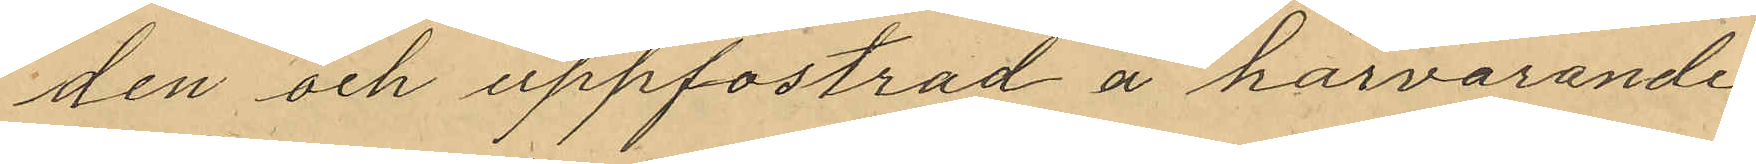den och uppfostrad å härvarande
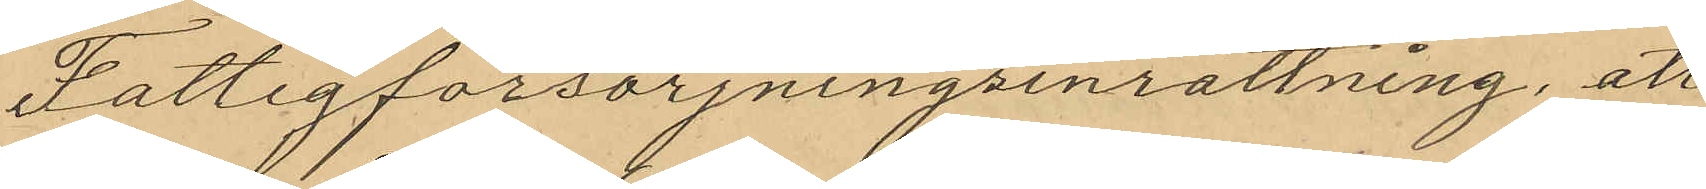Fattigförsörjningsinrättning, att
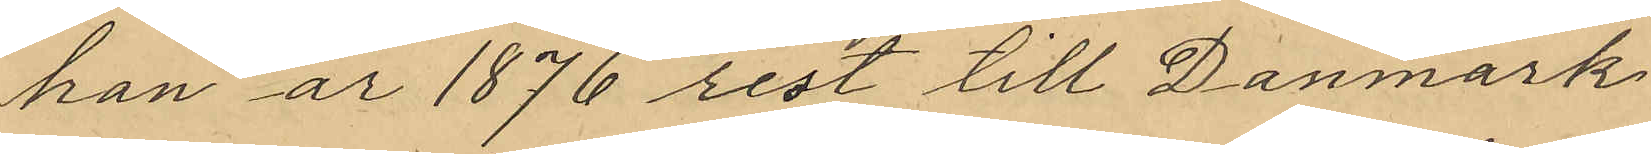han år 1876 rest till Danmark
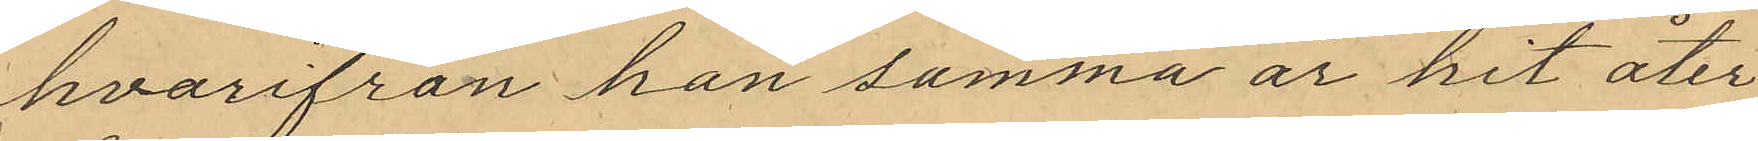hvarifrån han samma år hit åter¬
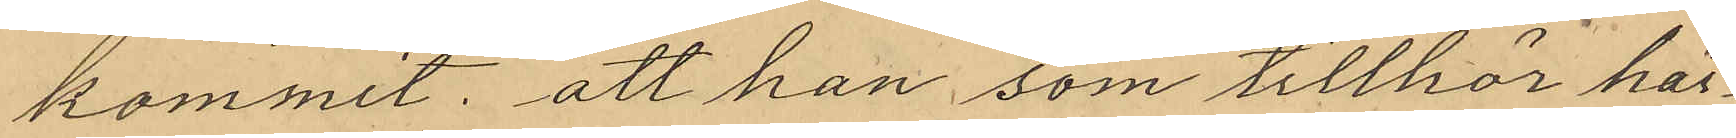kommit; att han som tillhör här¬
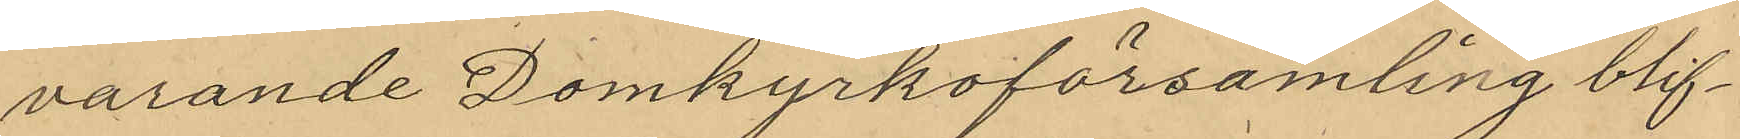varande Domkyrkoförsamling blif¬
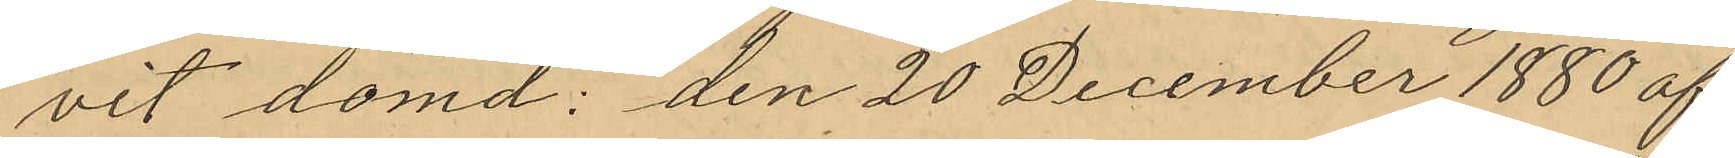vit dömd: den 20 December 1880 af
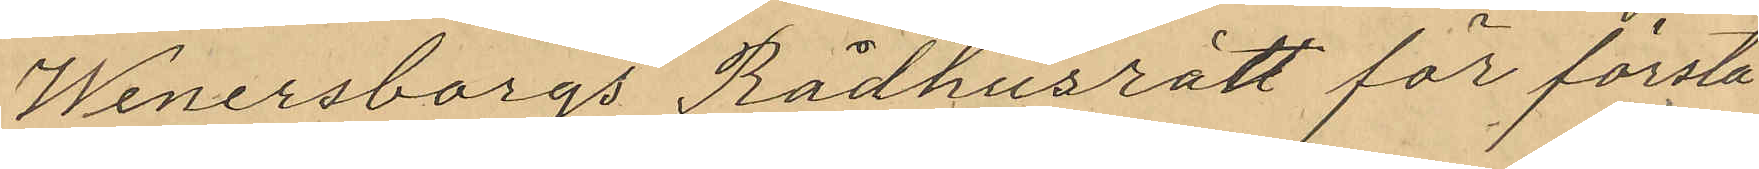Wenersborgs Rådhusrätt för första
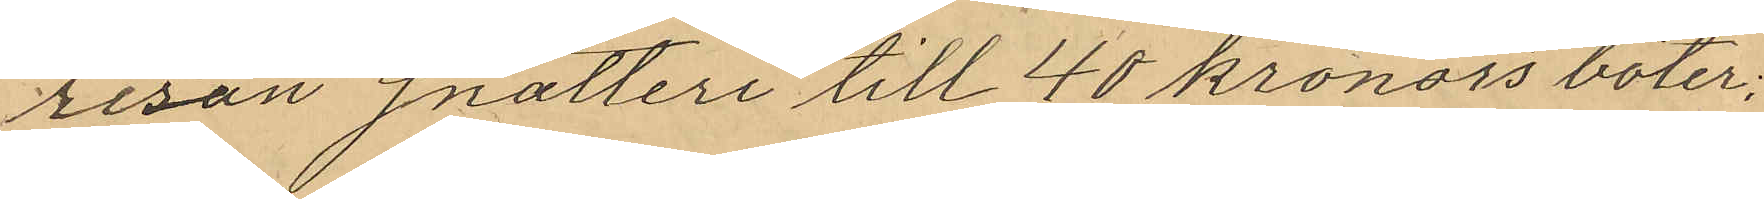resan snatteri till 40 kronors böter;
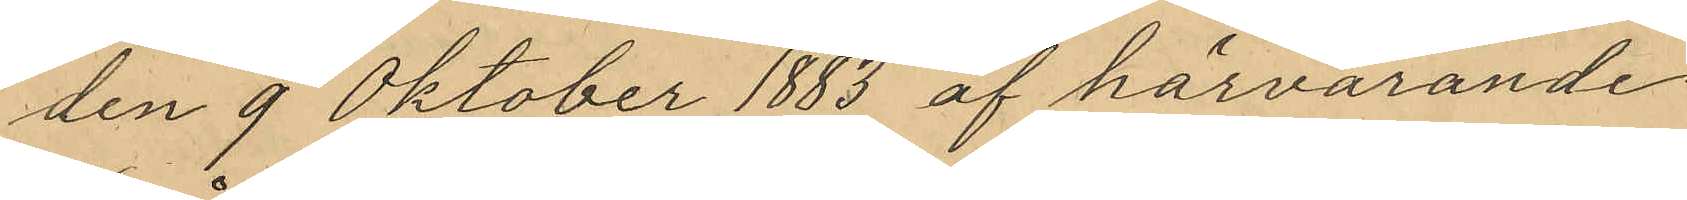den 9 Oktober 1883 af härvarande
